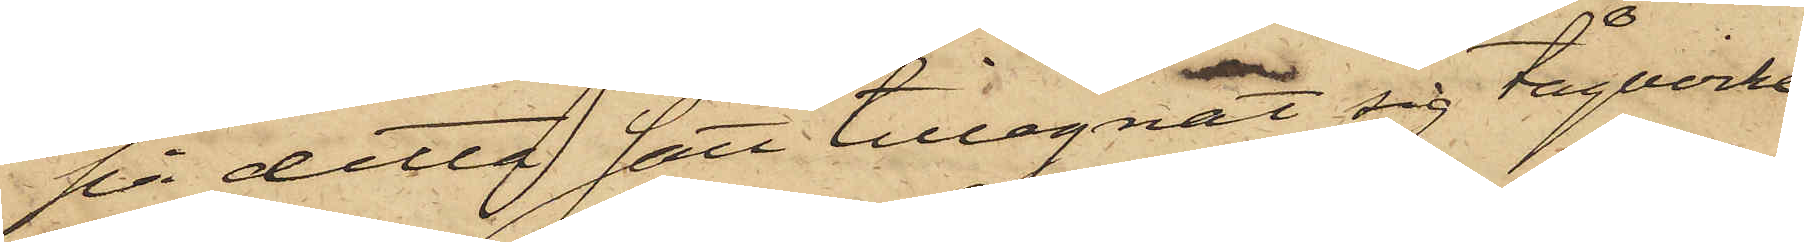på detta sätt tillegnat sig tågvirke,
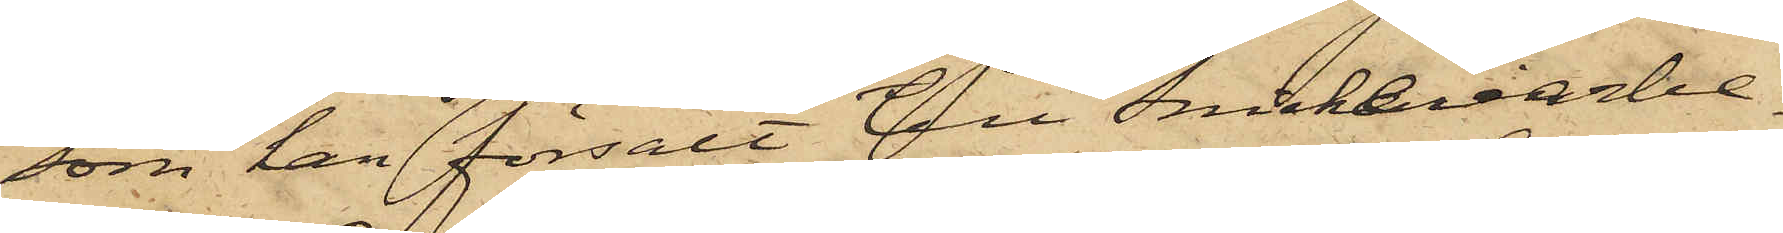som han försålt till Snickeriarbe¬
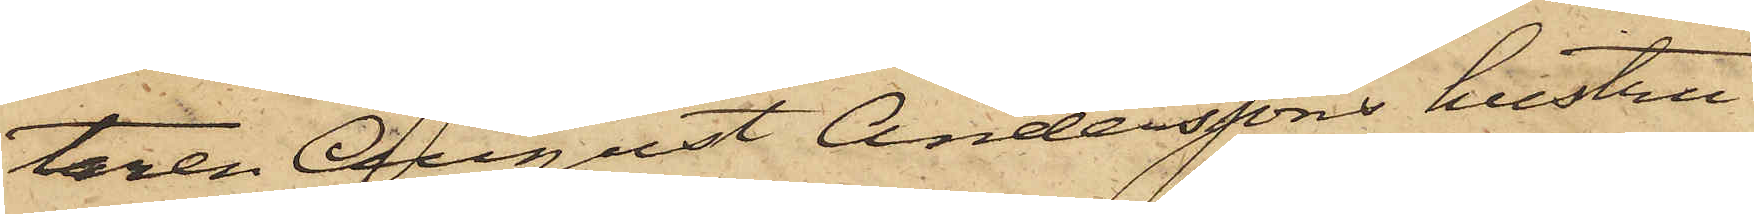taren August Anderssons hustru
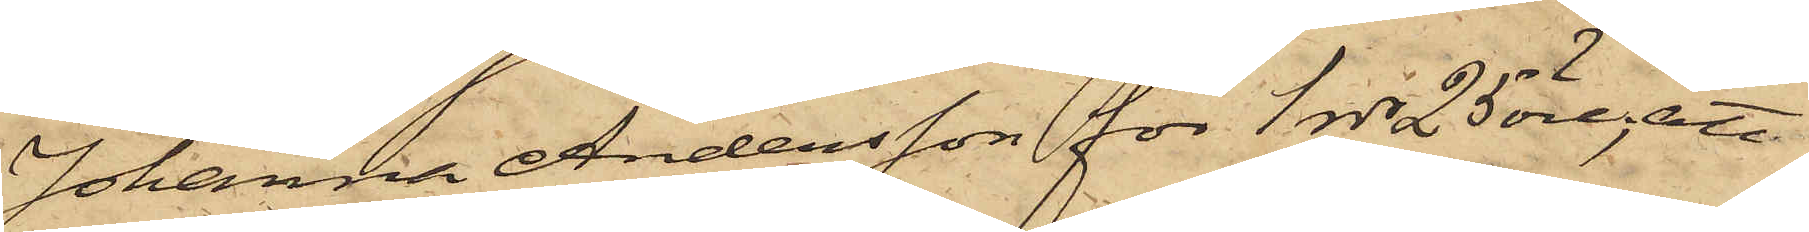Johanna Andersson för 1 rdr 25 öre; att
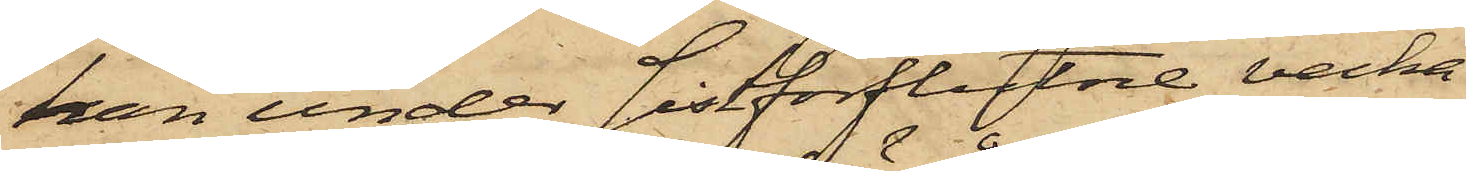han under sistförflutne vecka
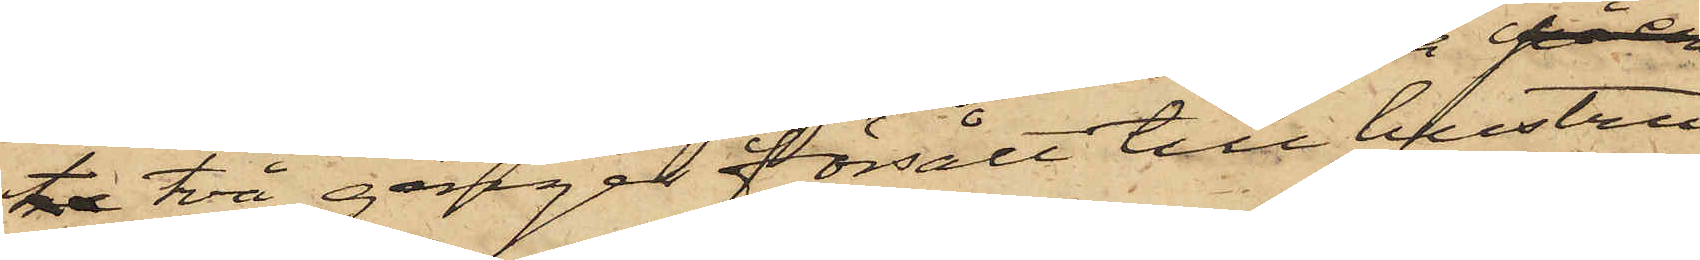tre två gånger försålt till hustru
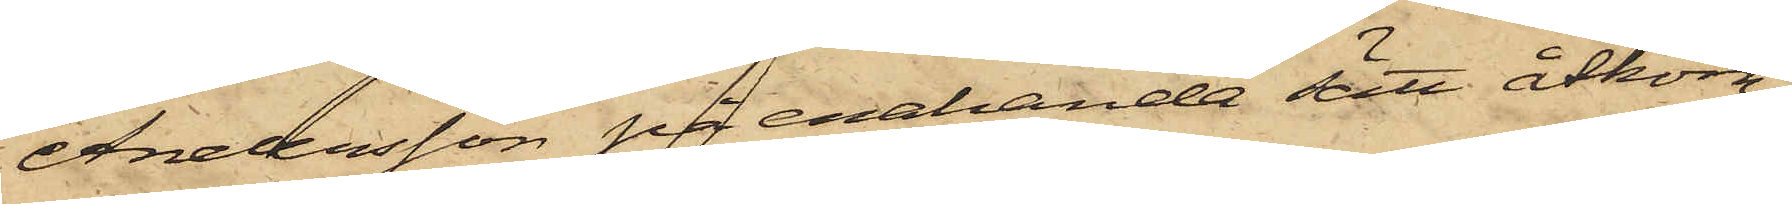Andersson sig enhanda sätt åtkom¬
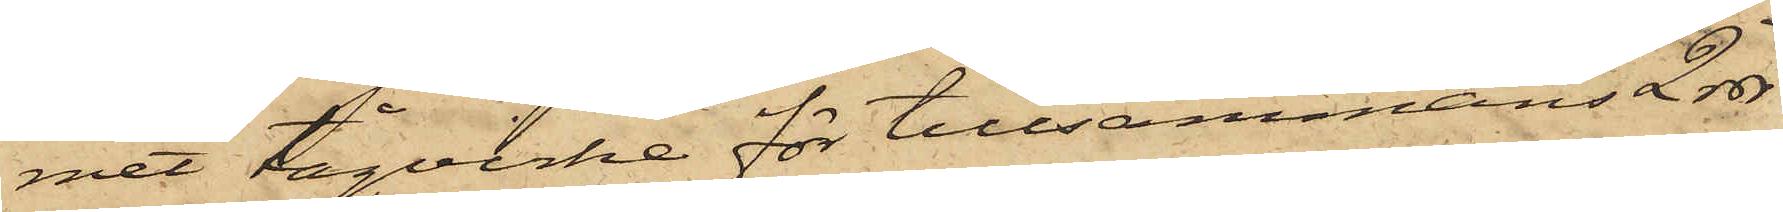met tågvirke för tillsammans 2 rdr
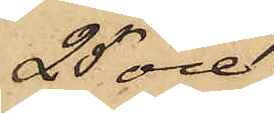25 öre;
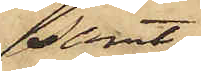samt
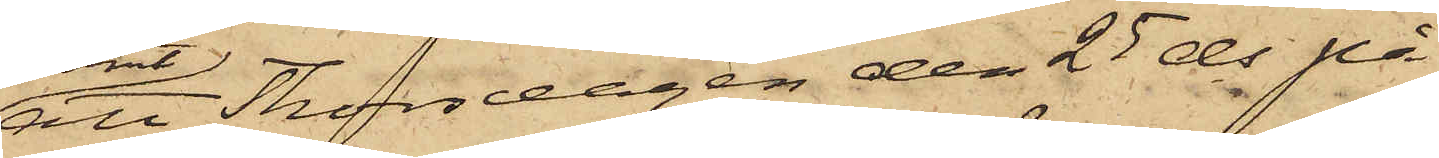att Thorsdagen den 25 ds på
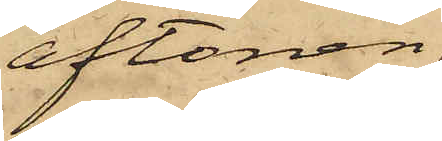aftonen
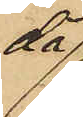då
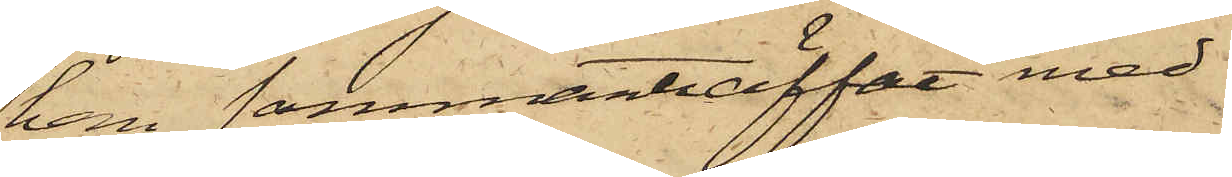han sammanträffat med
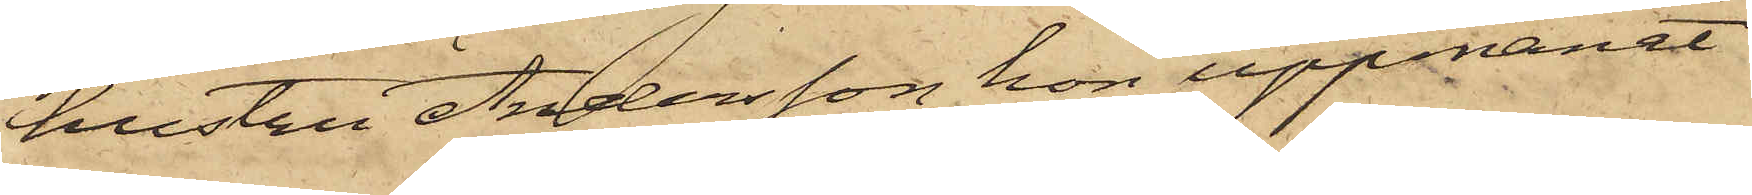hustru Andersson, hon uppmanat
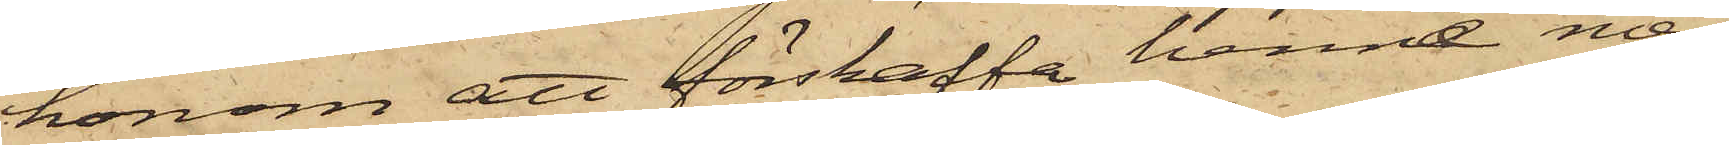honom att förskaffa henne mer
